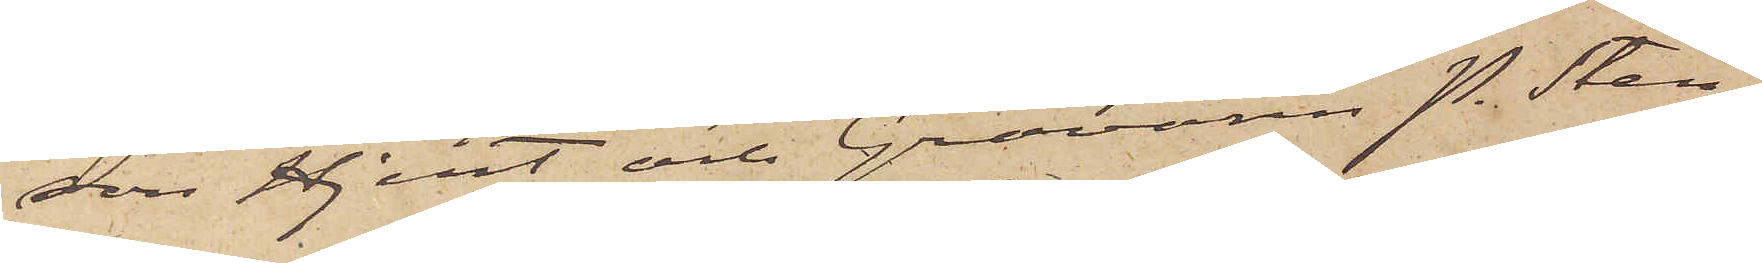son Hjert och Gravören P. Sten¬
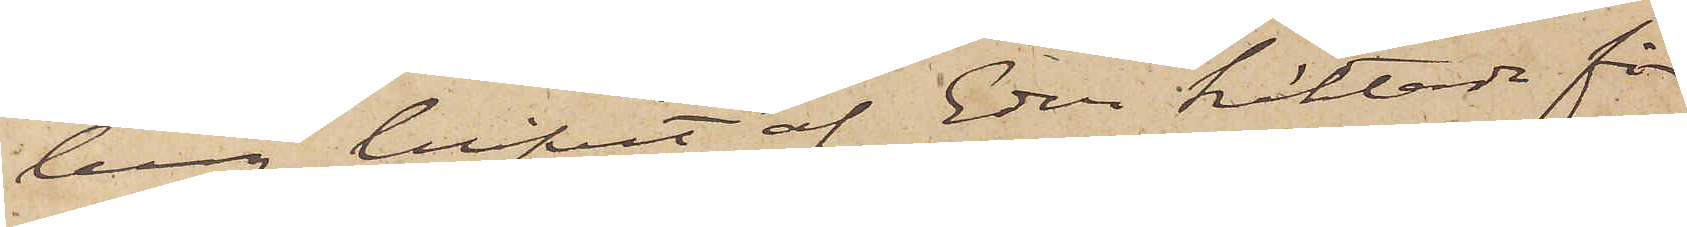berg blifvit af Eder häktade för
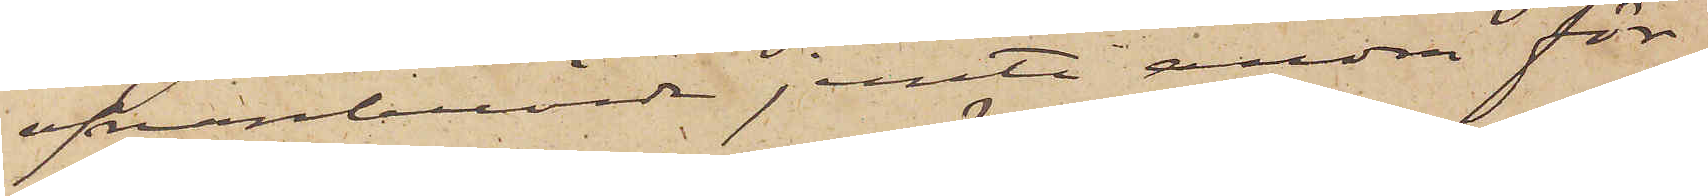ofvanberörde jemte andra för¬
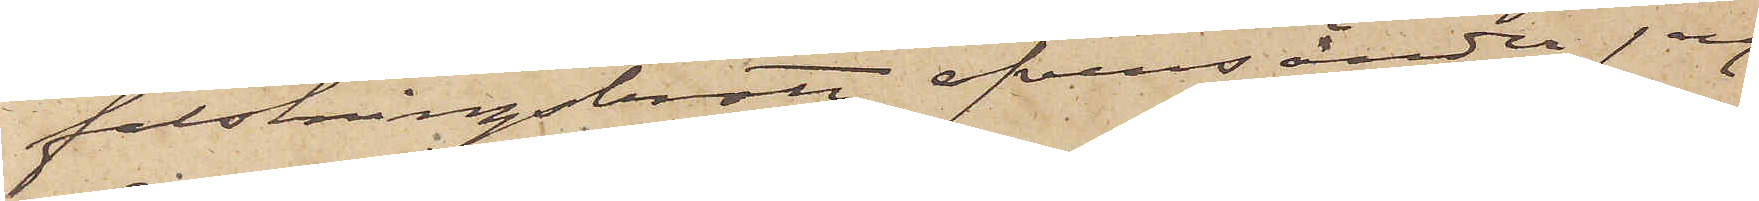falskningsbrott, öfversänder jag
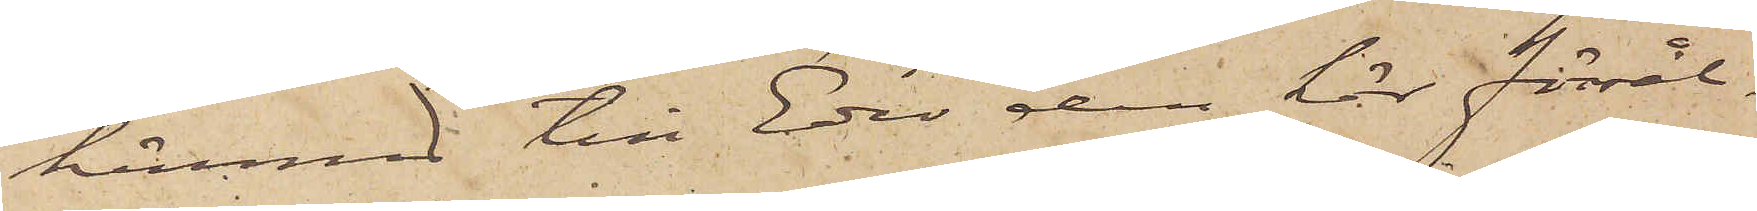härmed till Eder den här försål¬
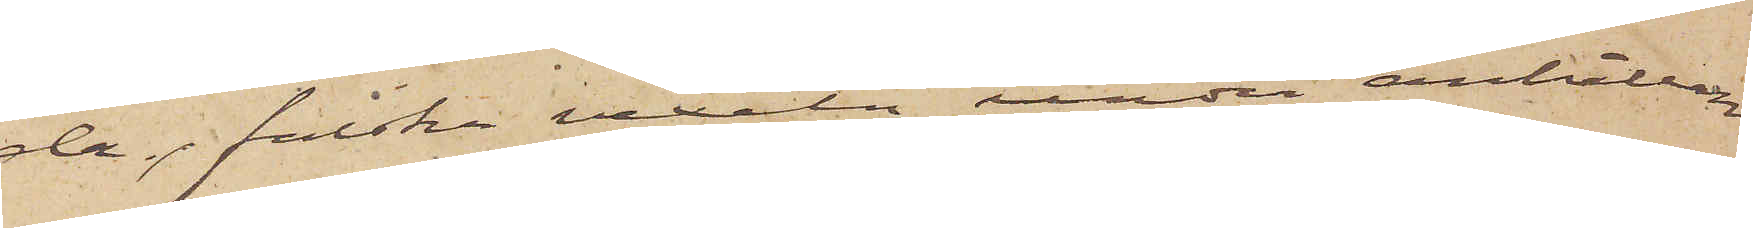da, falska vexeln, under anhållan
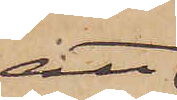att
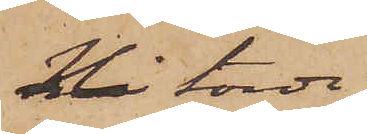Ni torde
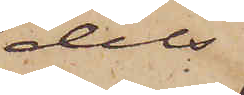dels
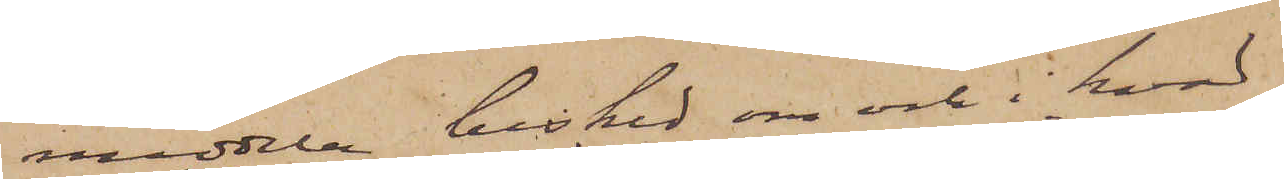meddela besked om och i hvad
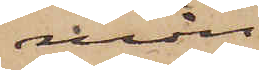mån
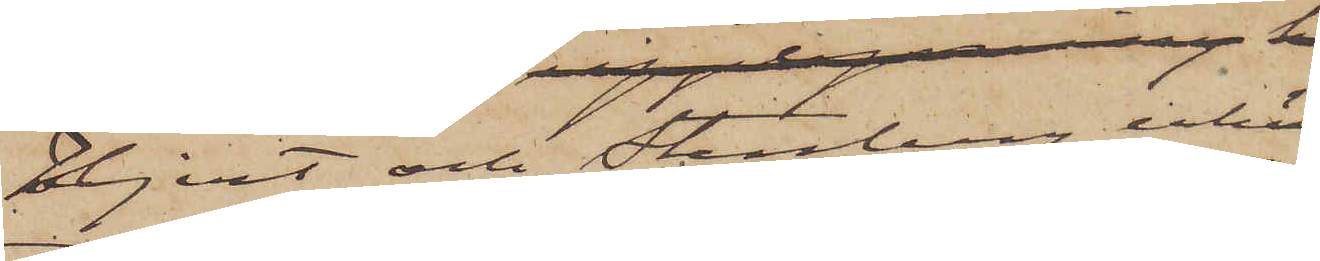Hjert och Stenberg erkän¬
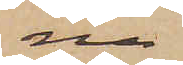na
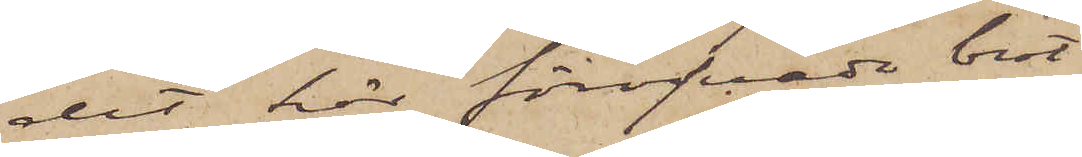det här föröfvade brot¬
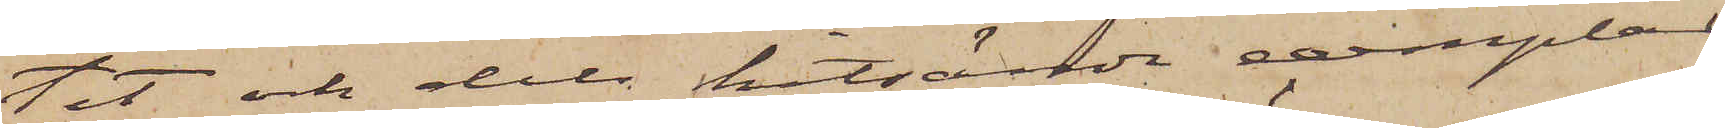tet och dels hitsända exemplar
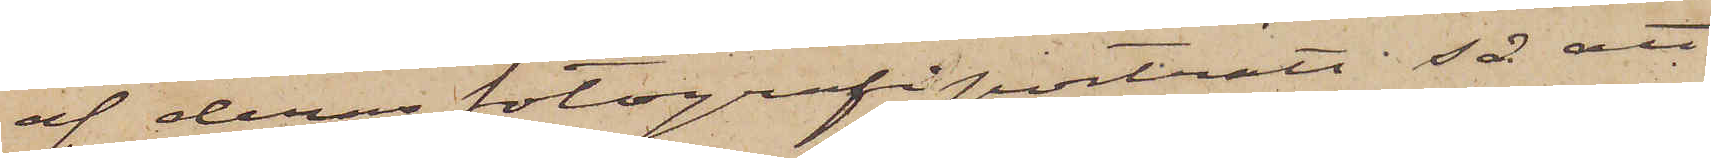af deras fotografiporträtt så att
